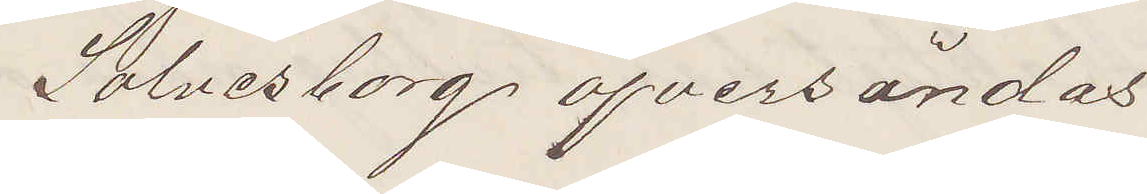Sölvesborg öfversändas.
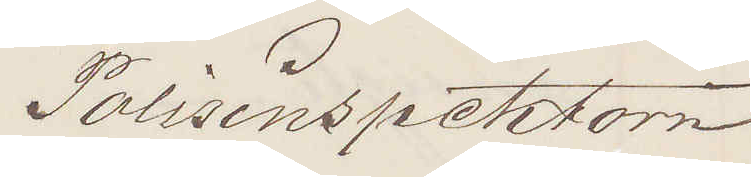Polisinspektorn
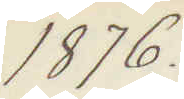1876.
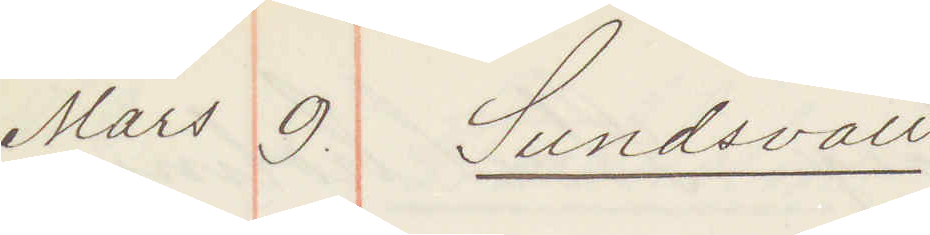Mars 9. Sundsvall
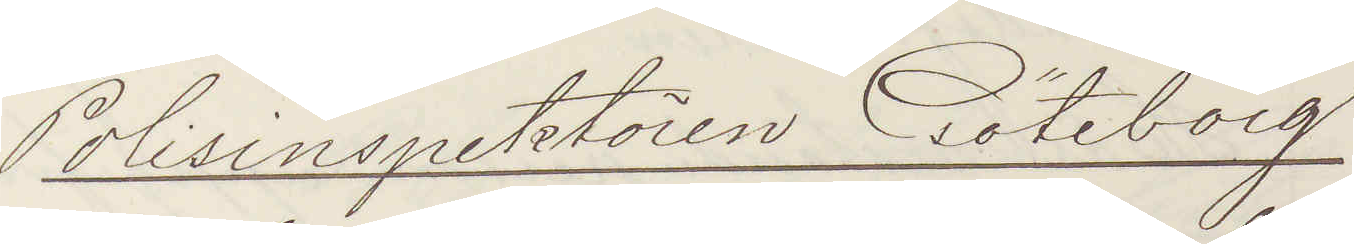Polisinspektören Göteborg
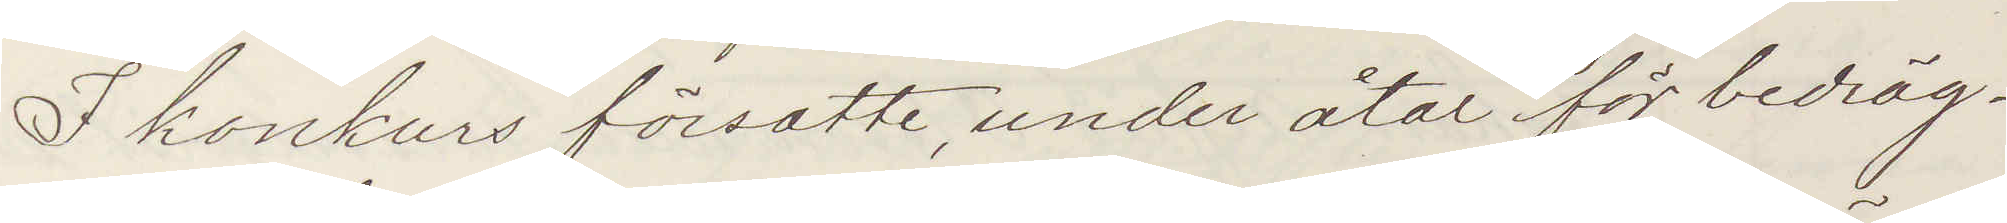I konkurs försatte, under åtal för bedräg¬
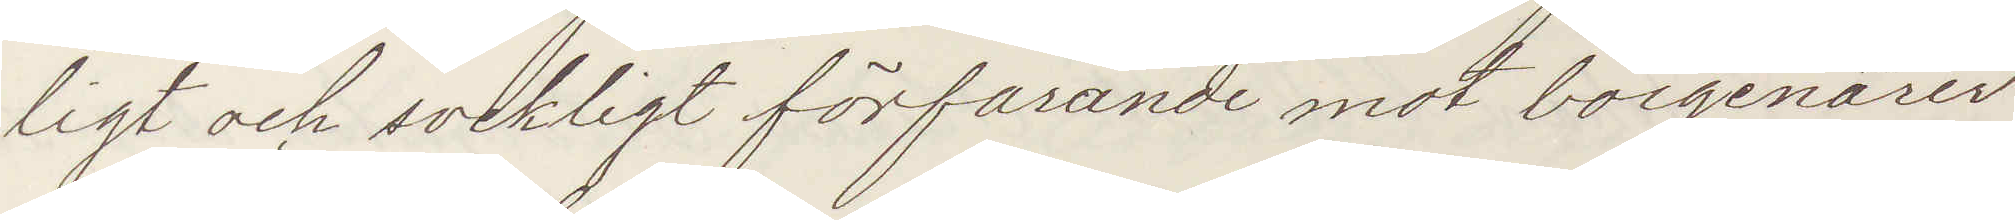ligt och svekligt förfarande mot borgenärer
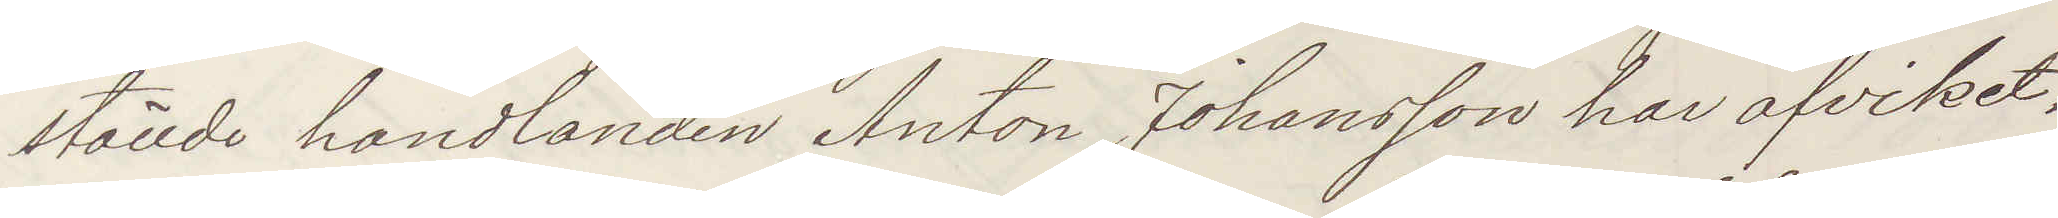ställde handlanden Anton Johansson har afvikit,
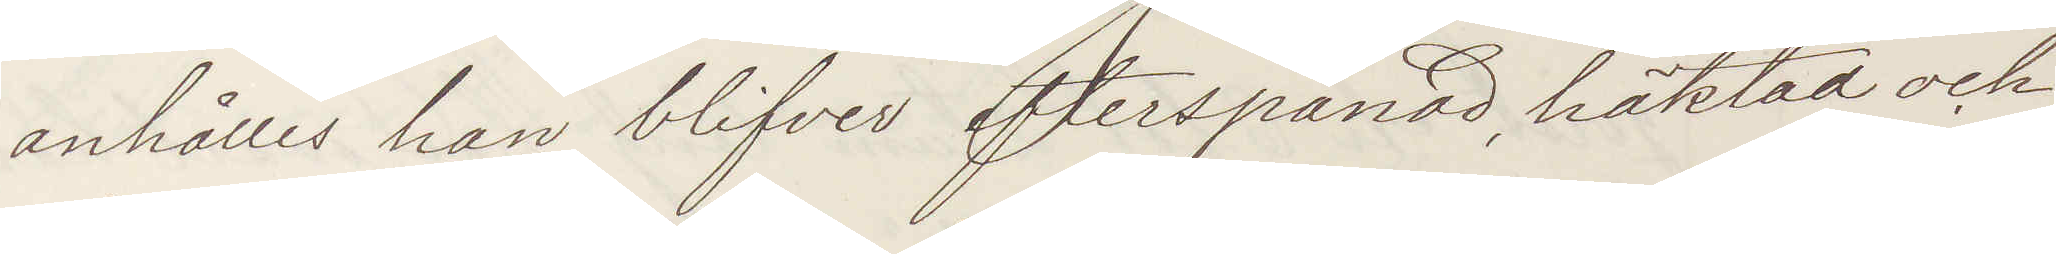anhålles han blifver efterspanad, häktas och
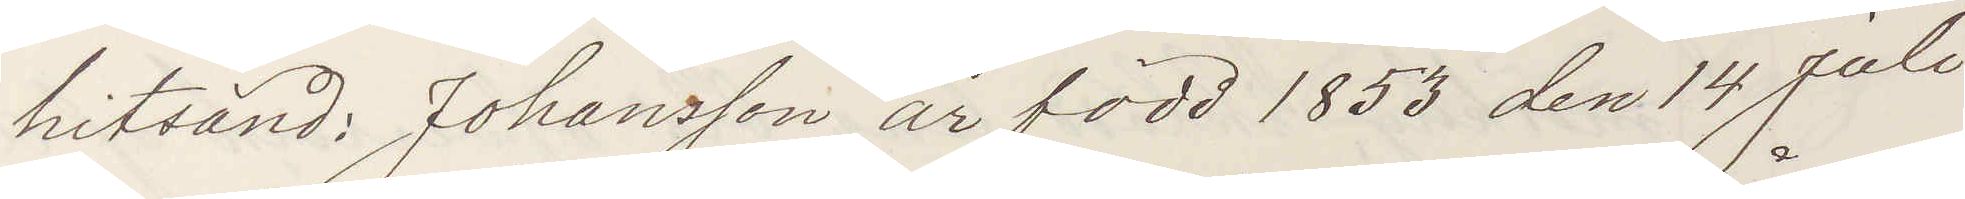hitsänd: Johansson är född 1853 den 14 Juli
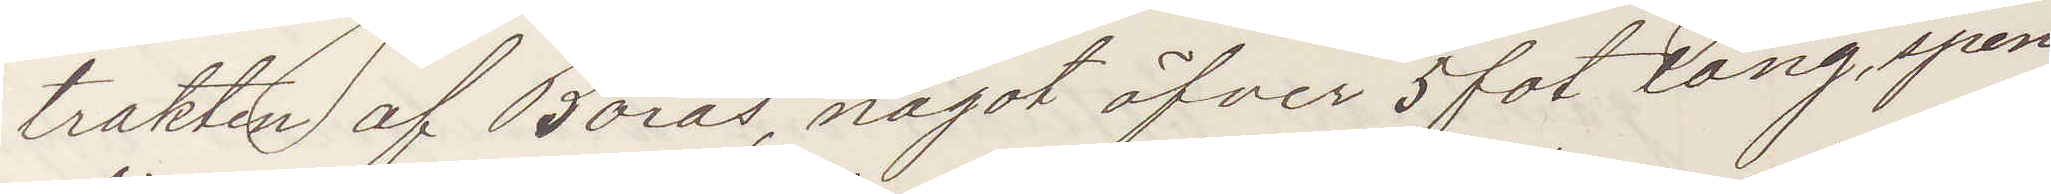trakten af Borås, något öfver 5 fot lång, spen¬
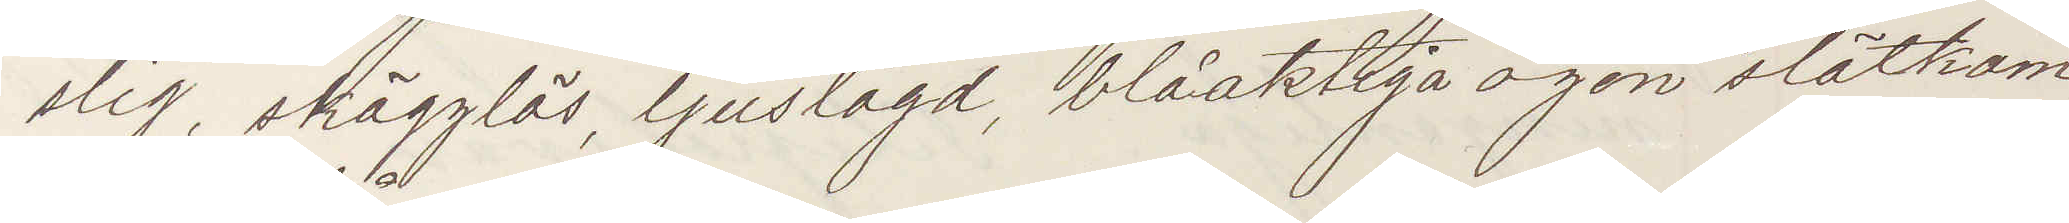slig, skägglös, ljuslagd, blåaktiga ögon slätkam¬
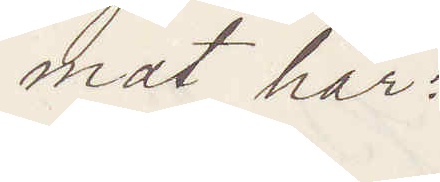mat hår:
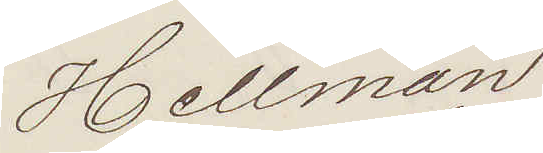Hellman
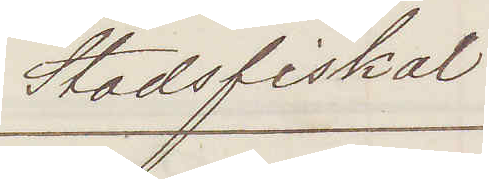Stadsfiskal
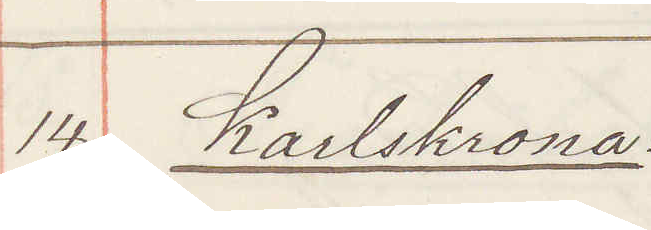14. Karlskrona:
